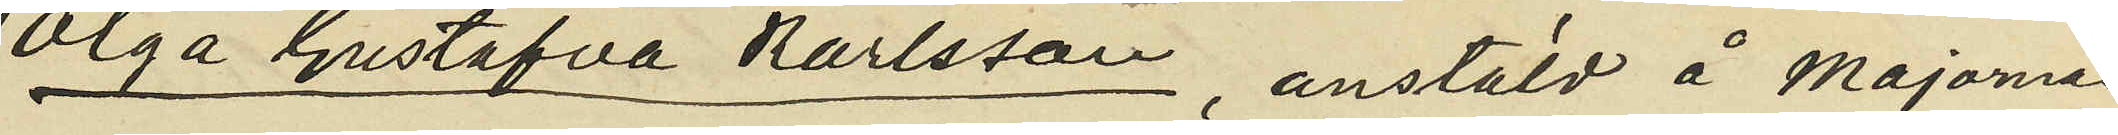Olga Gustafva Karlsson, anstäld å Majornas
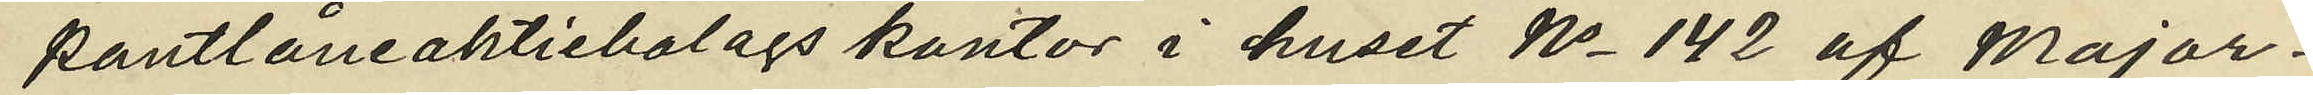pantlåneaktiebolags kontor i huset No 142 af Major¬
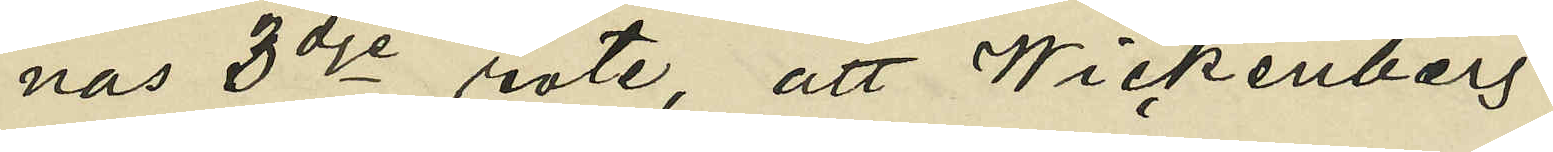nas 3dje rote, att Wickenberg
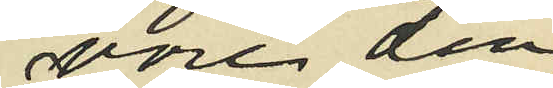vore den
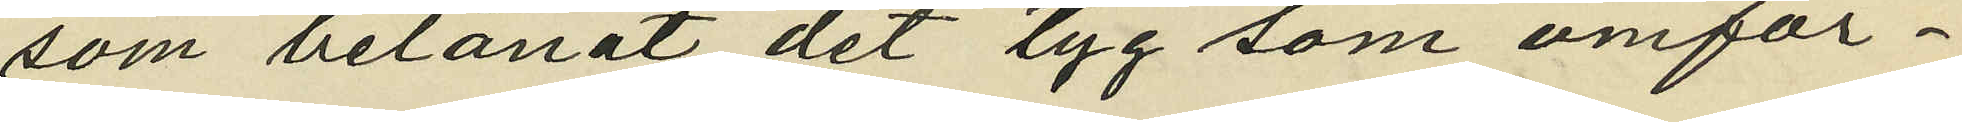som belånat det tyg som omför¬
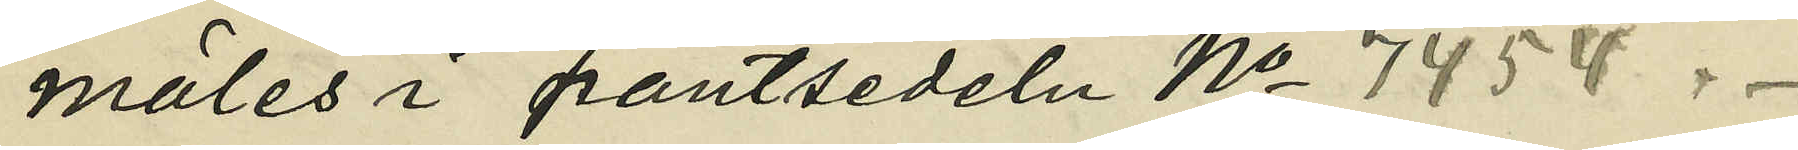mäles i pantsedeln No 7454.
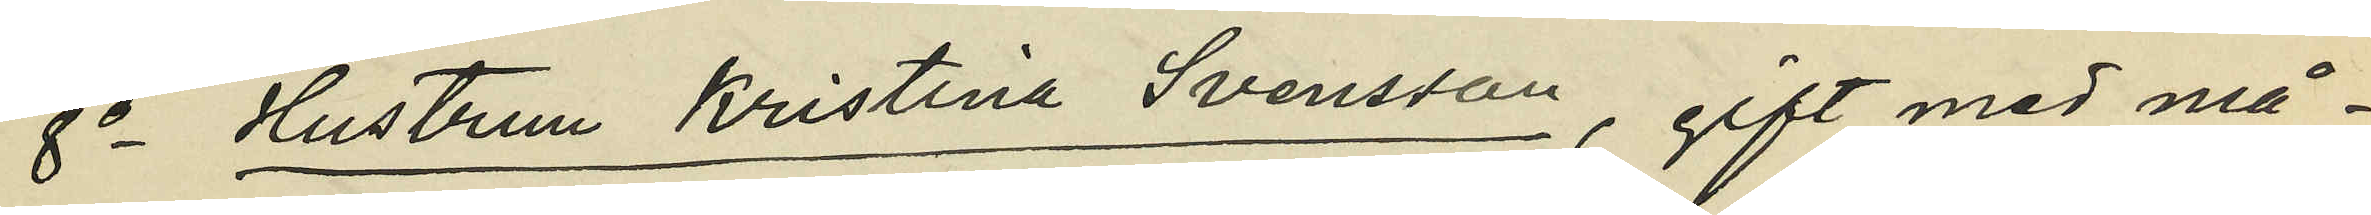8o  Hustrun Kristina Svensson, gift med må¬
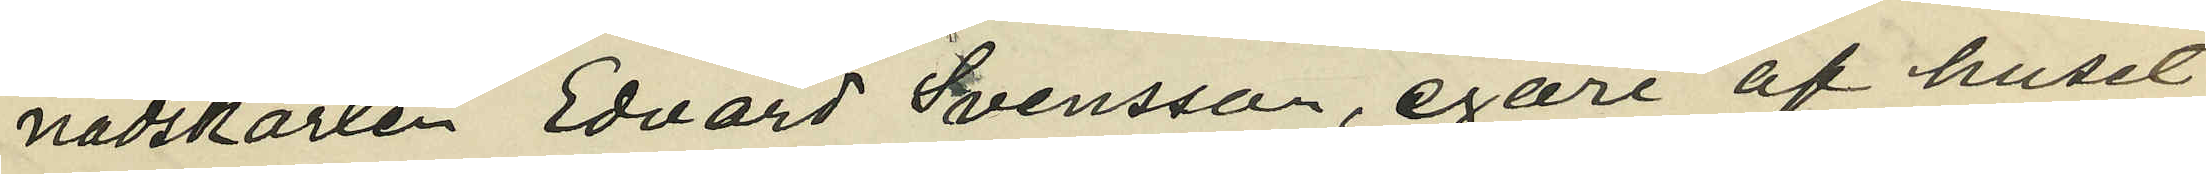nadskarlen Edvard Svensson, egare af huset
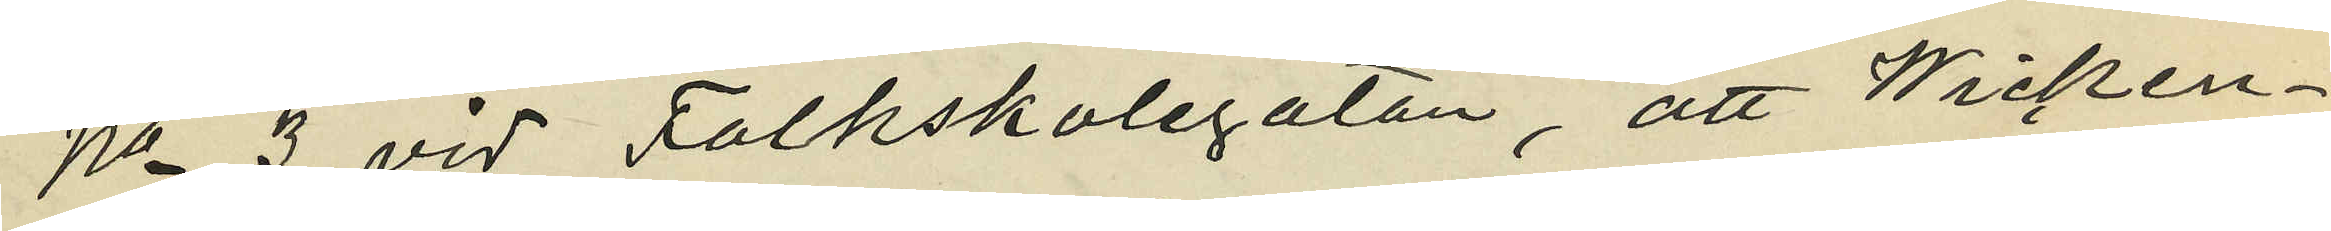No 3 vid Folkskolegatan, att Wicken¬
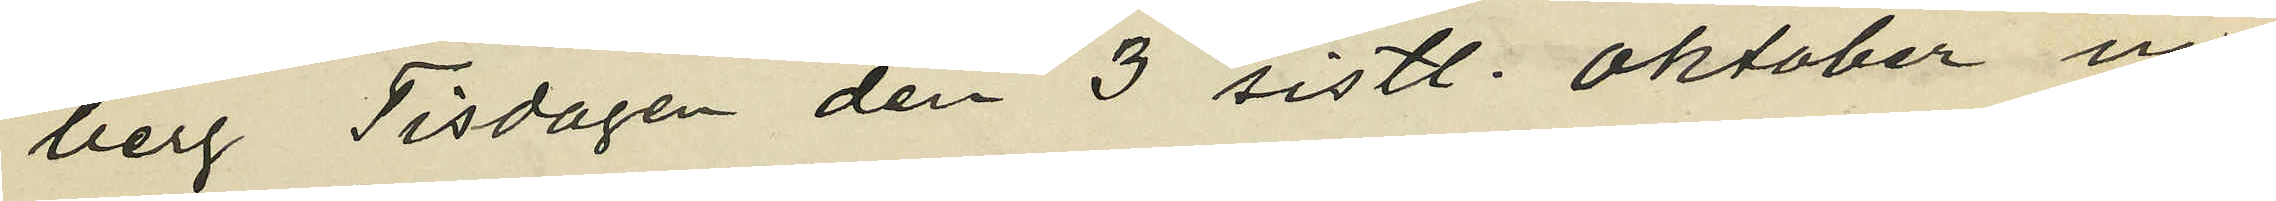berg Tisdagen den 3 sistl. Oktober in¬
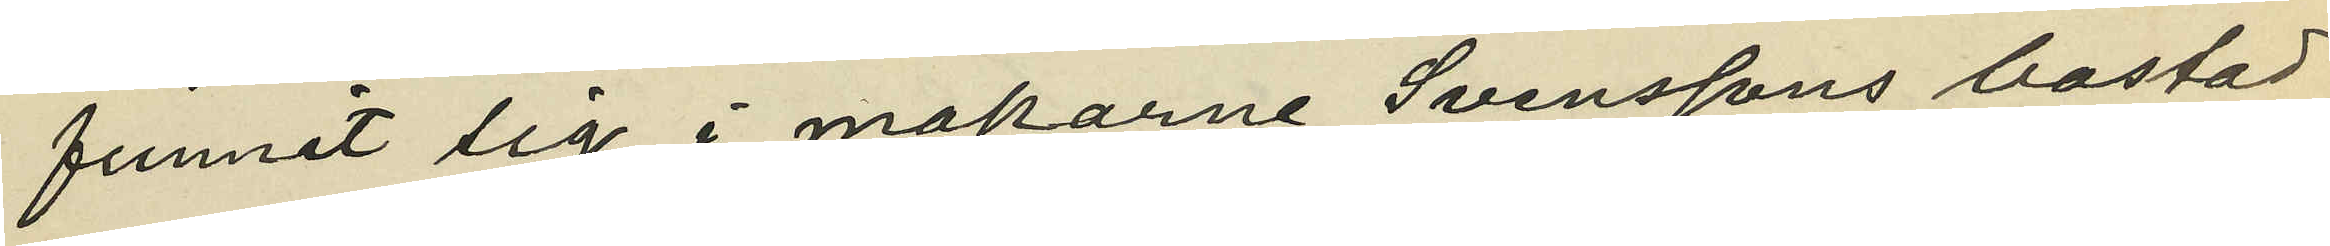funnit sig i makarne Svenssons bostad
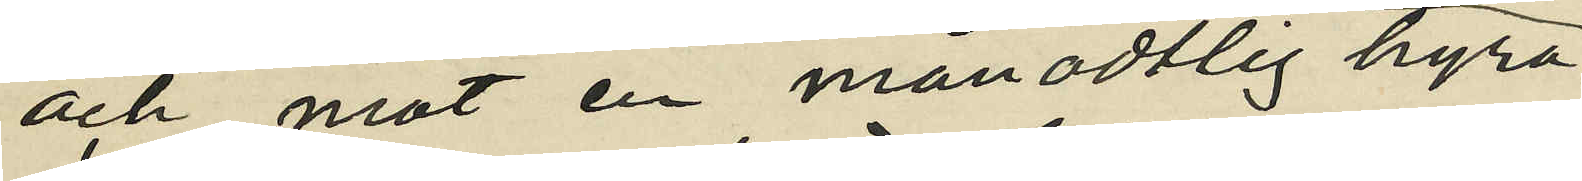och mot en månadtlig hyra
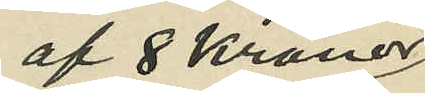af 8 Kronor
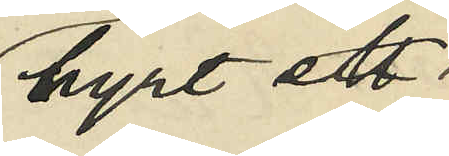hyrt ett i
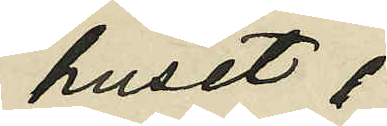huset
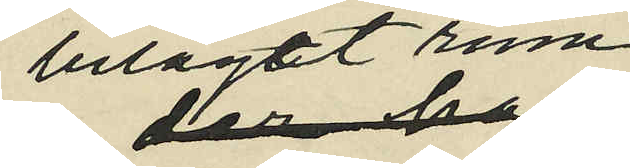beläget rum
